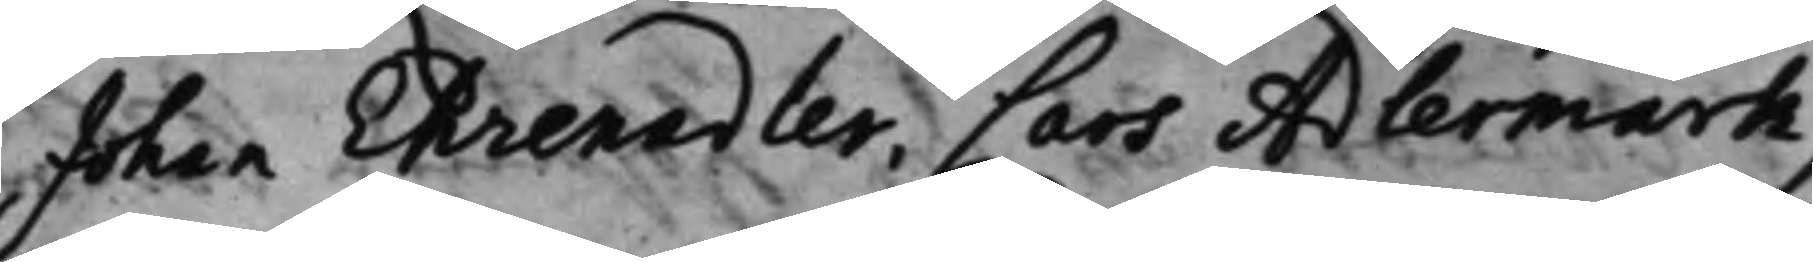Johan Ehrenadler, Lars Adlermark,
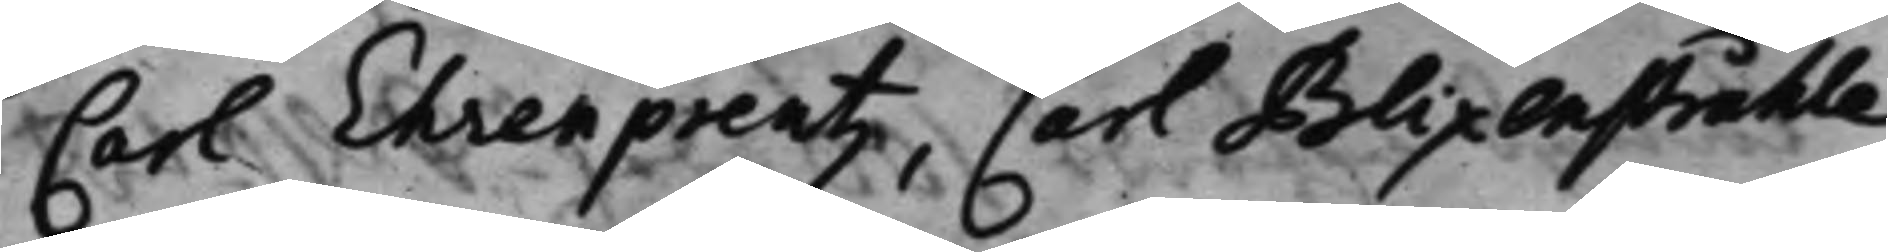Carl Ehrenpreutz, Carl Blixenstråhle,
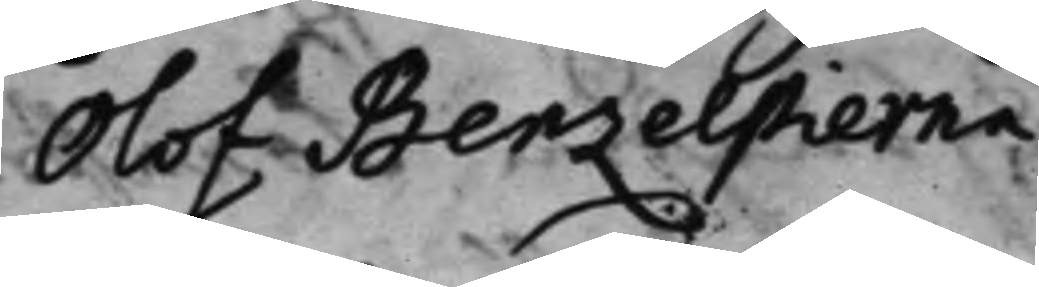Olof Benzelstierna.
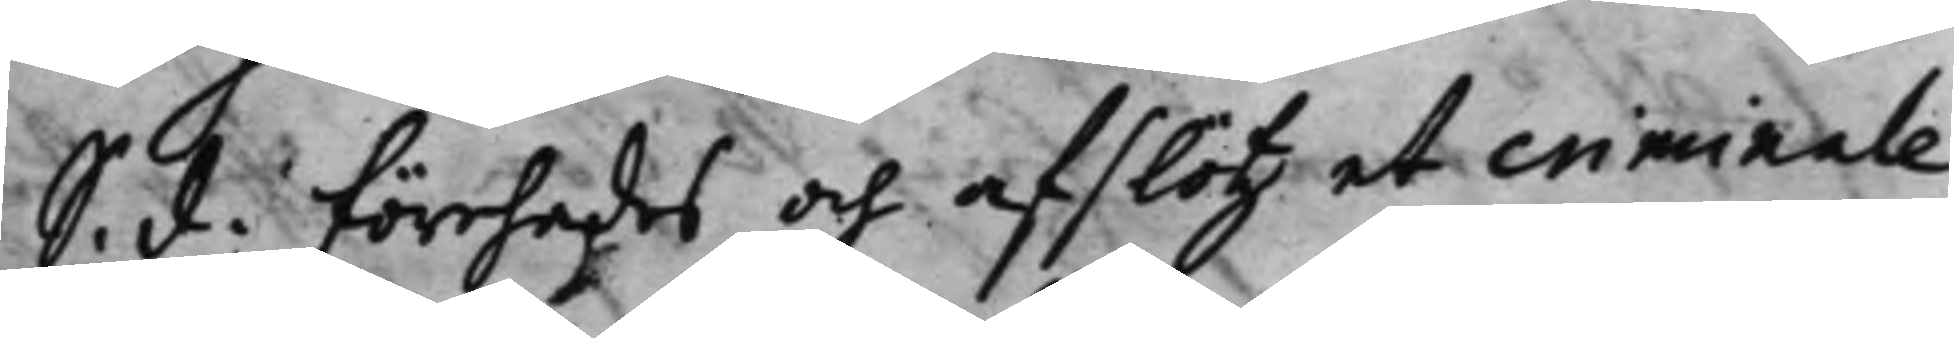S. d: förehades och afslötz et criminale
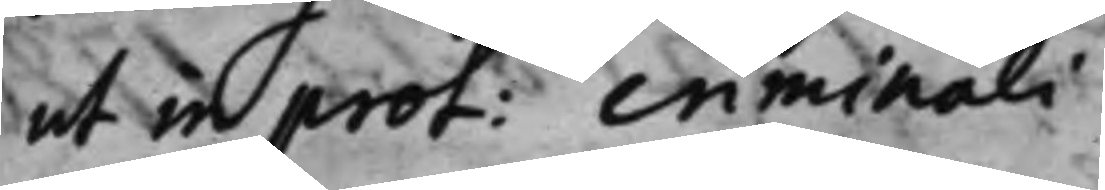ut in prot: criminali.
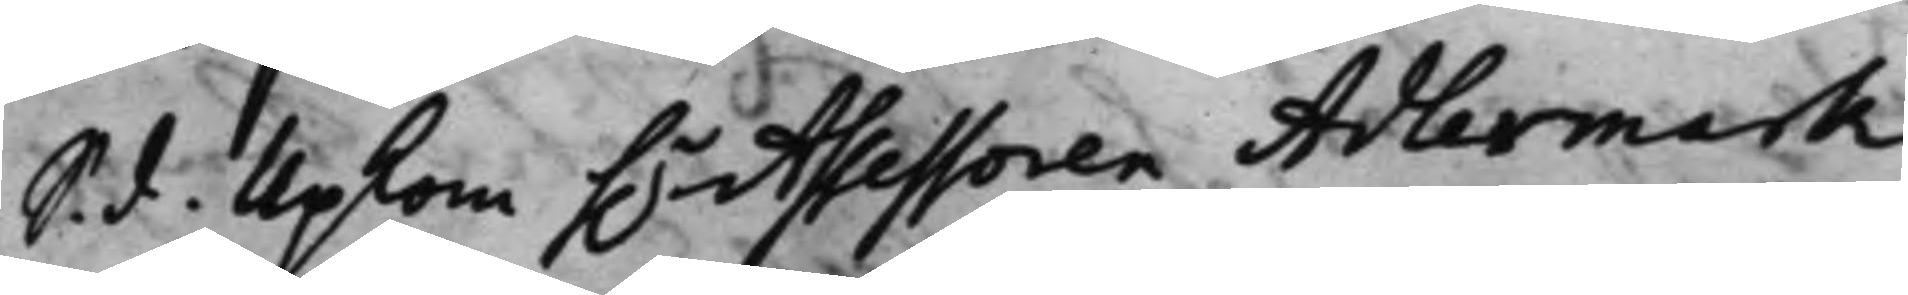S. d. Upkom h.r Assessoren Adlermark,
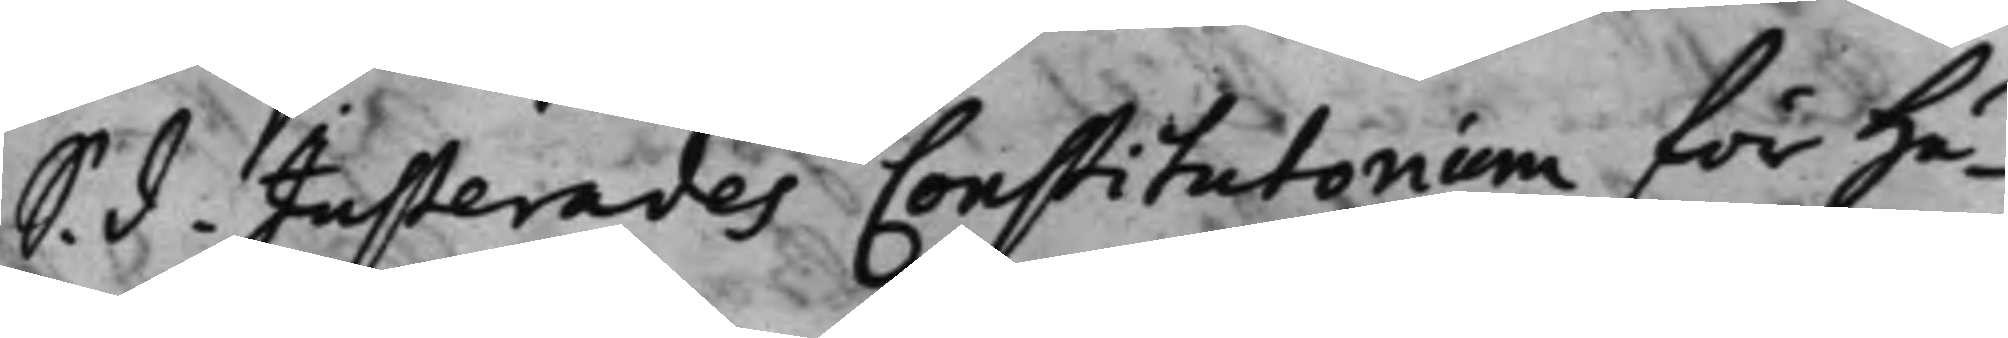S. d. Justerades Constitutorium för Hä¬
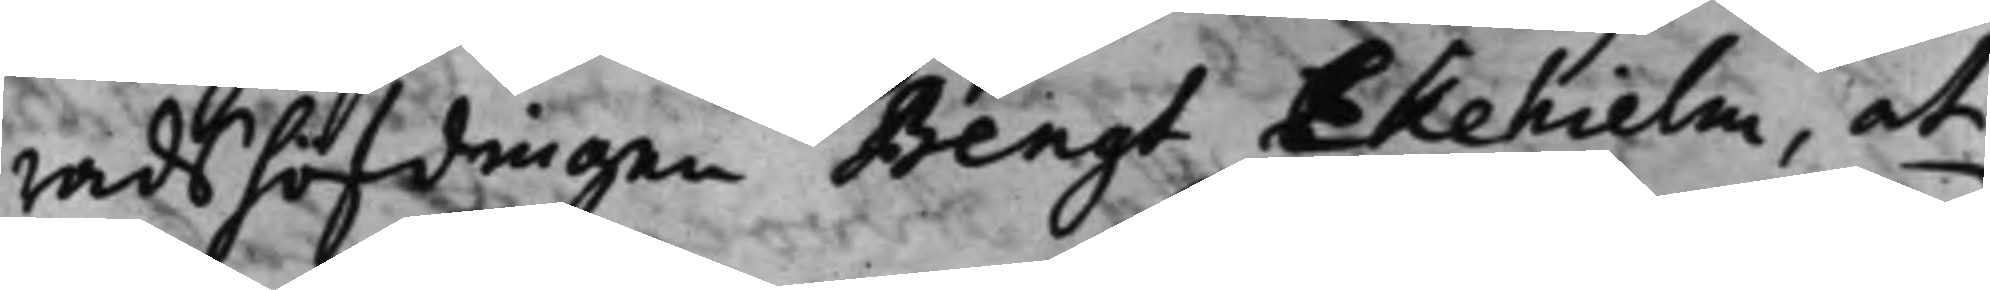radshöfdingen Bengt Ekehielm, at
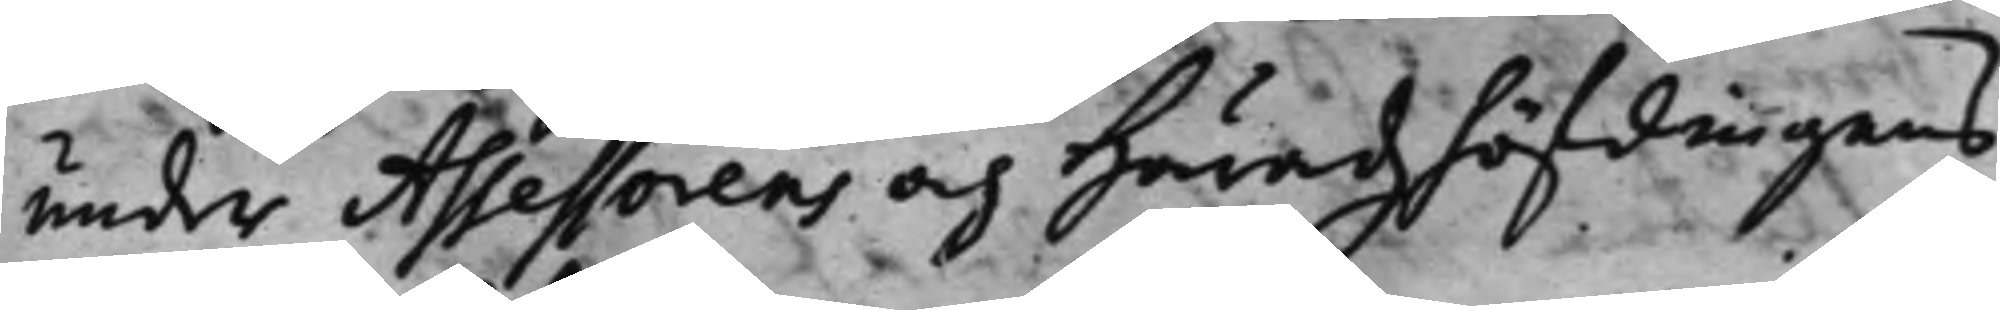under Assessorens och Häradzhöfdingens
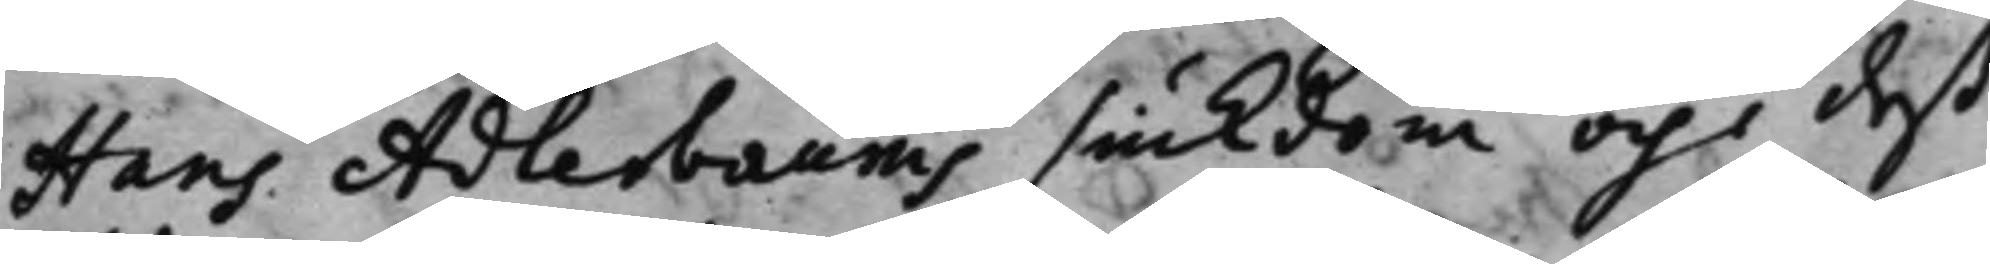Hans Adlerbaums siukdom och i deß
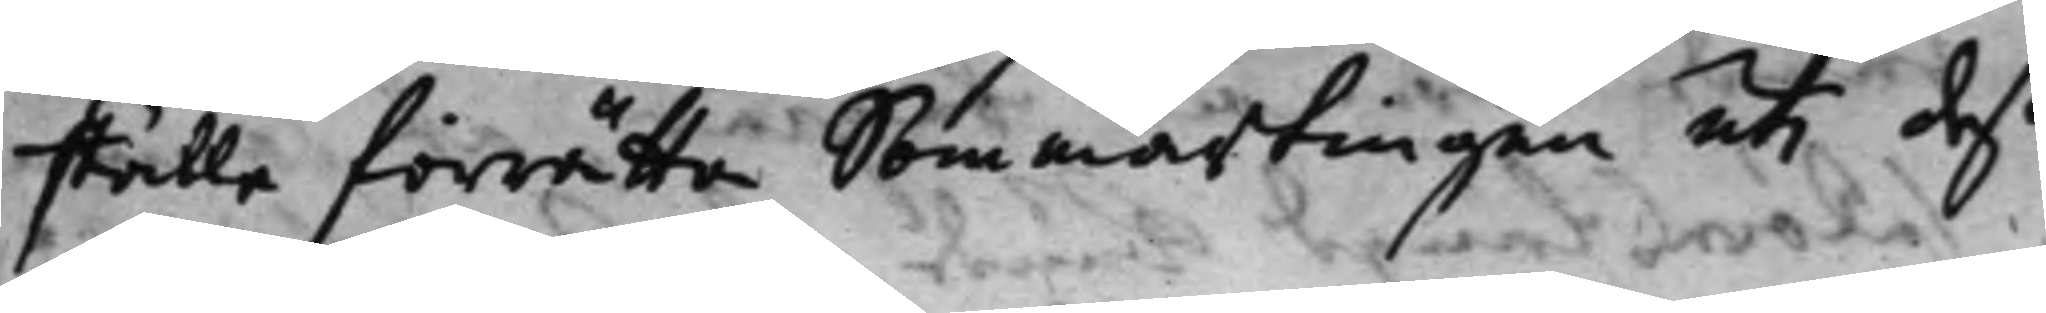ställe förrätta Sommartingen uti deß
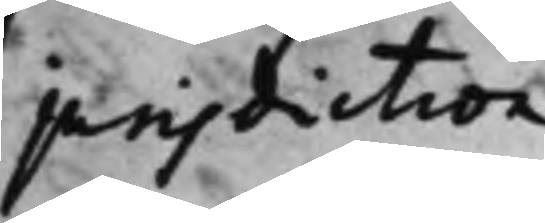jurisdiction.
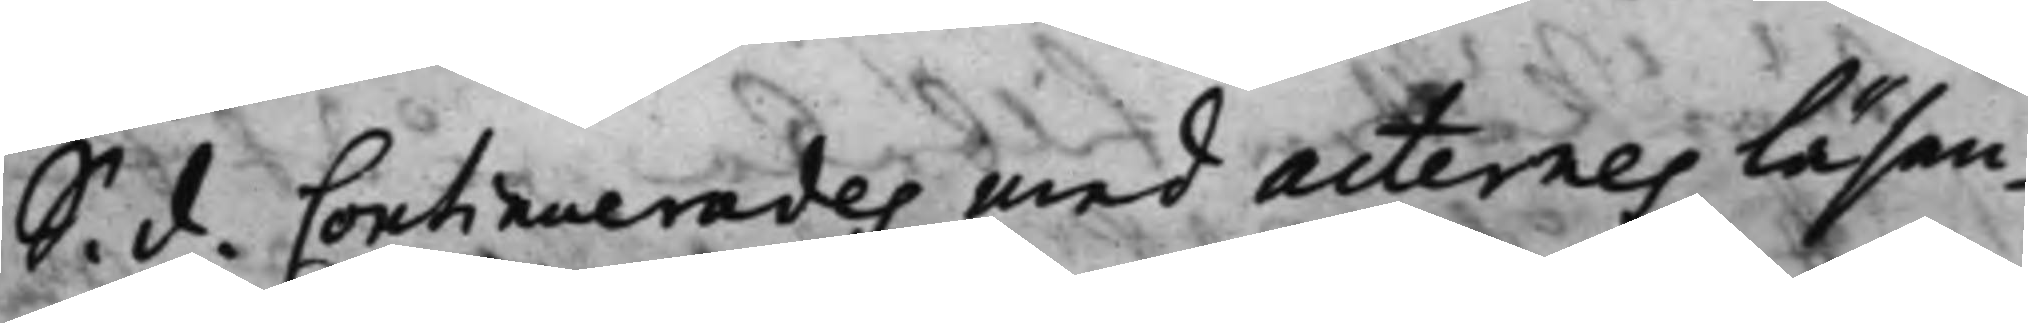S. d. Continuerades med acternes läsan¬
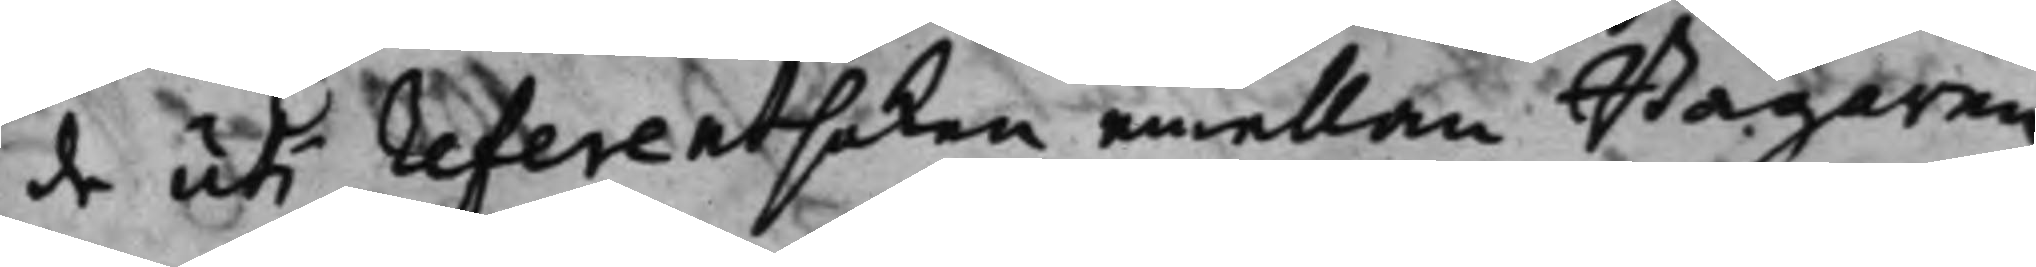de uti referentsaken emellan Bagaren
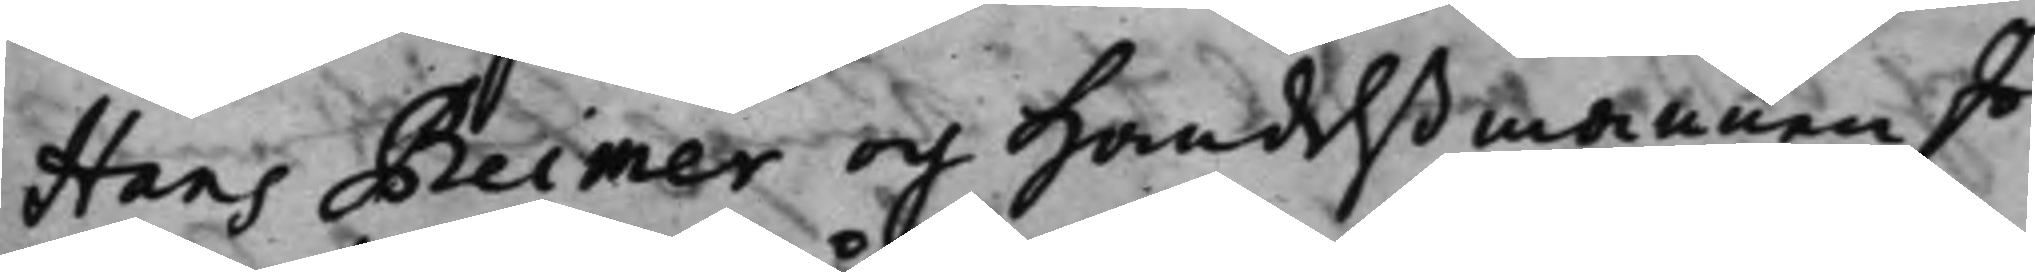Hans Reimer och Handelßmannen Jo¬
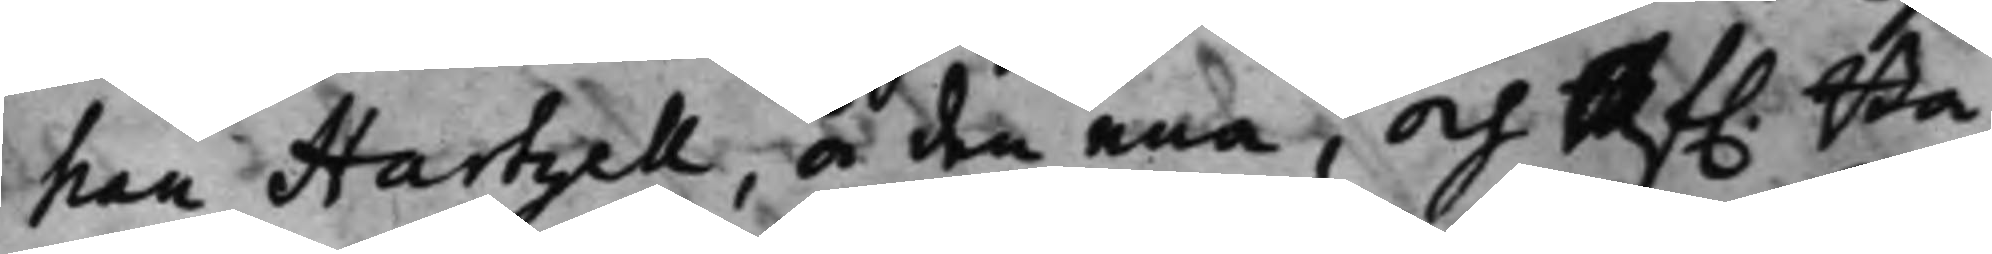han Hartzell, å den ena, och Af. Ba¬
